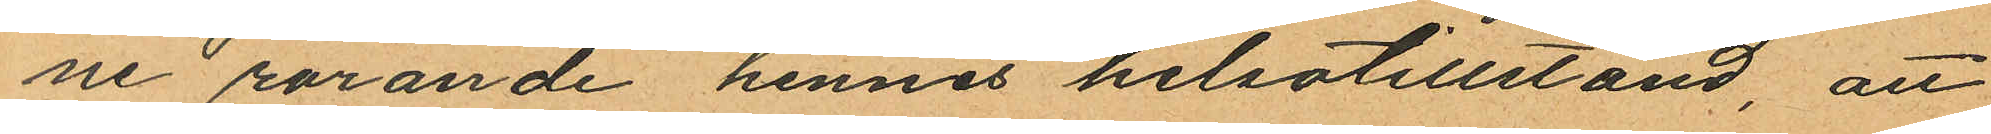ne rörande hennes helsotillstånd, att
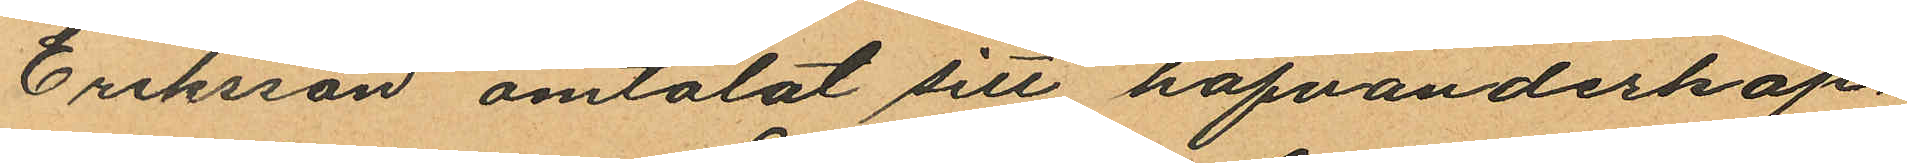Eriksson omtalat sitt hafvandeskap
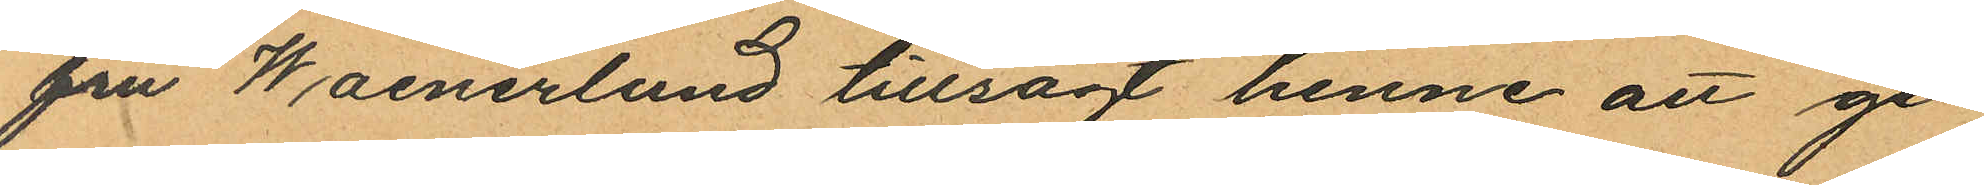fru Waenerlund tillsagt henne att ge¬
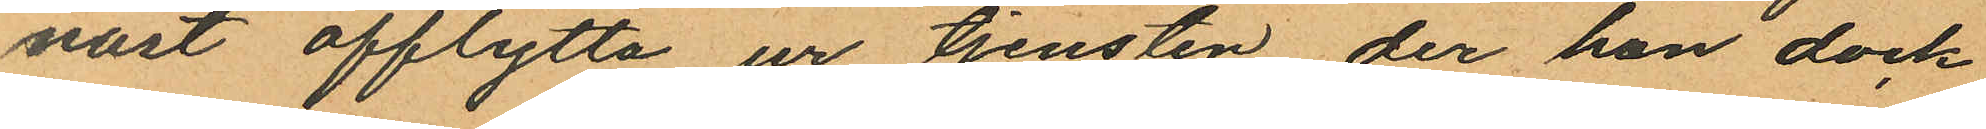nast afflytta ur tjensten, der hon dock
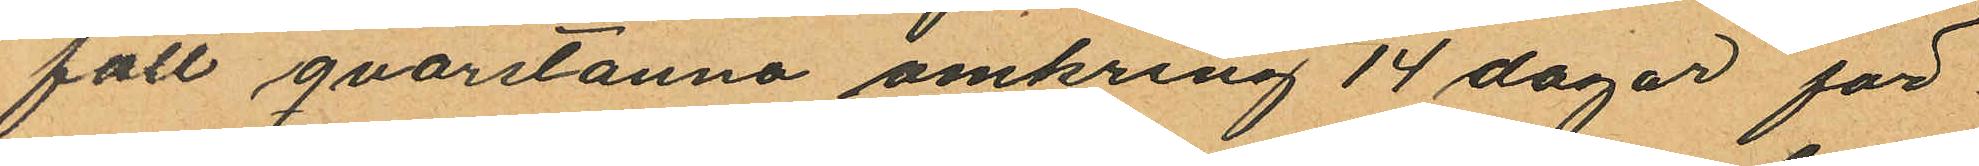fått qvarstanna omkring 14 dagar för
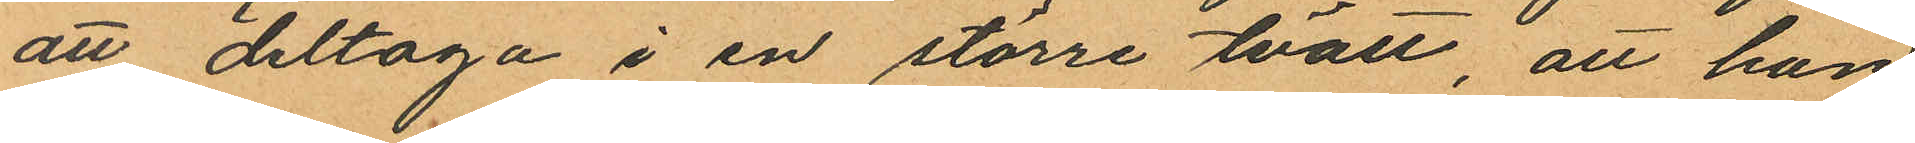att deltaga i en större tvätt, att hon
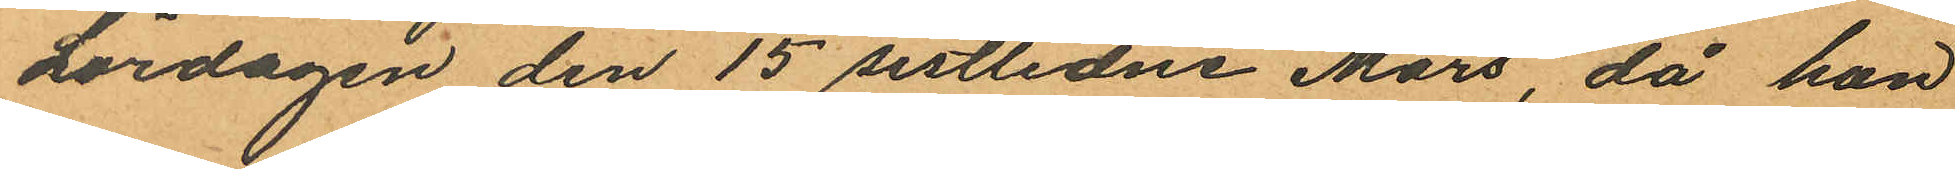Lördagen den 15 sistlidne Mars, då hon
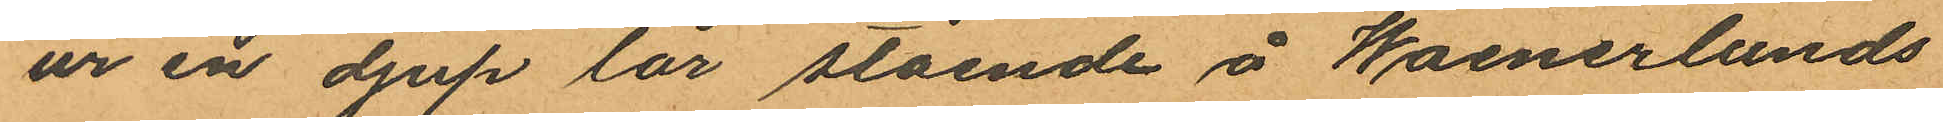ur en djup lår stående å Waenerlunds
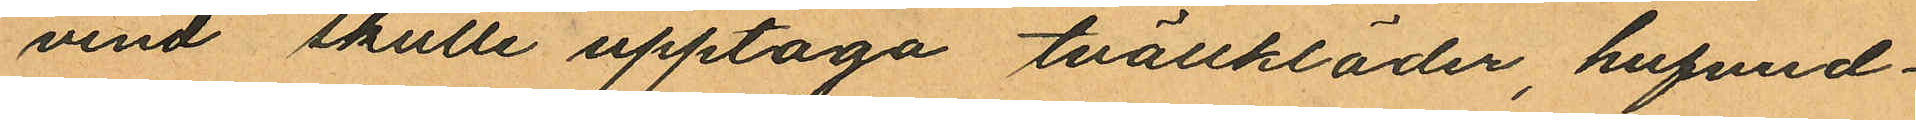vind skulle upptaga tvättkläder, hufvud¬
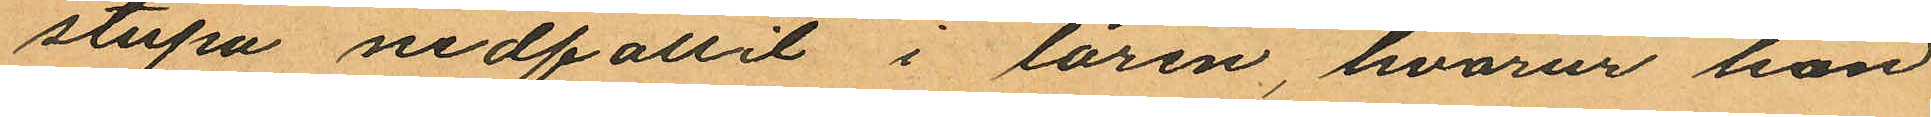stupa nedfallit i låren, hvarur hon
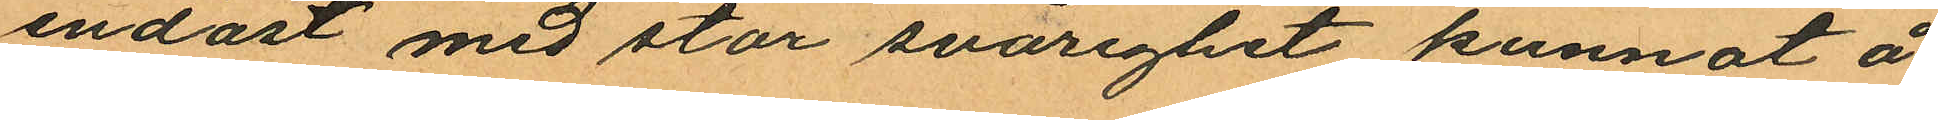endast med stor svårighet kunnat å
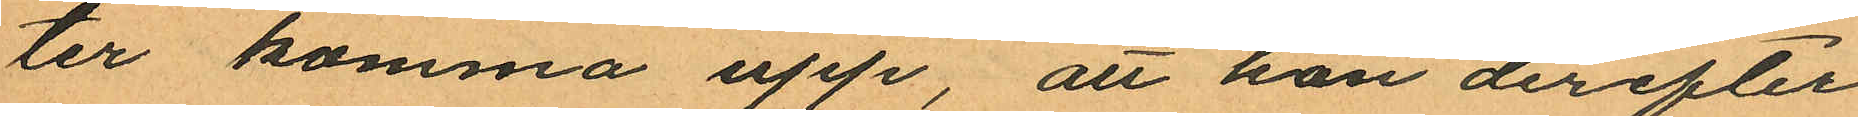ter komma upp, att hon derefter
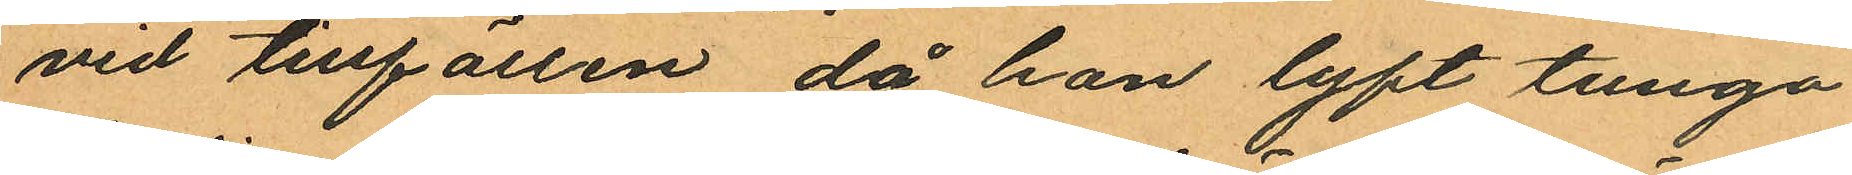vid tillfällen, då hon lyft tunga
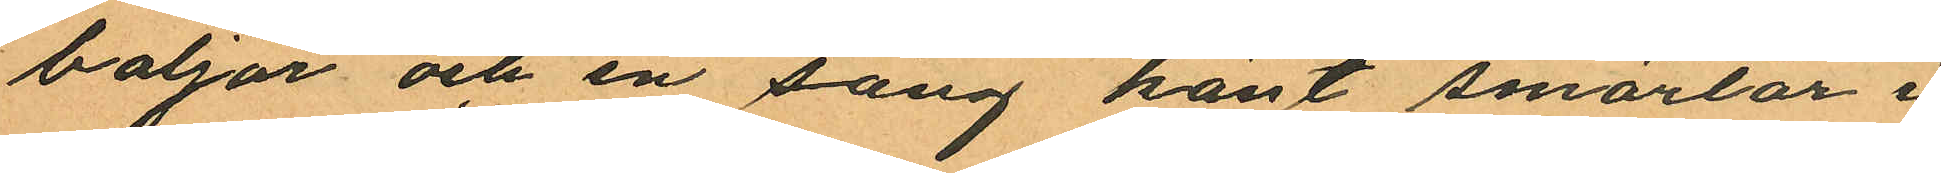baljor och en säng känt smärtor i
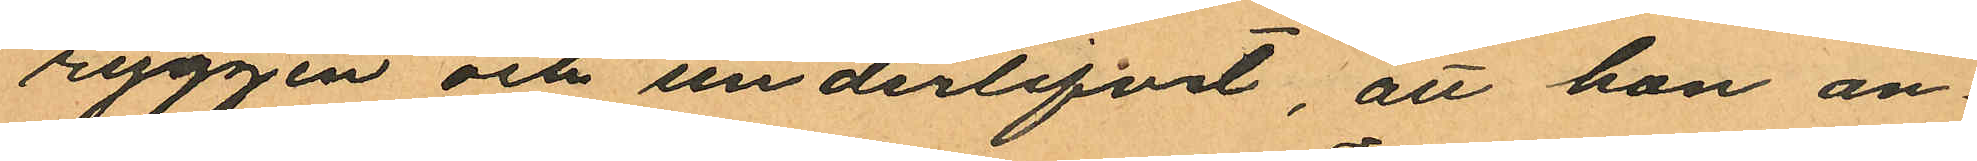ryggen och underlifvet, att hon an¬
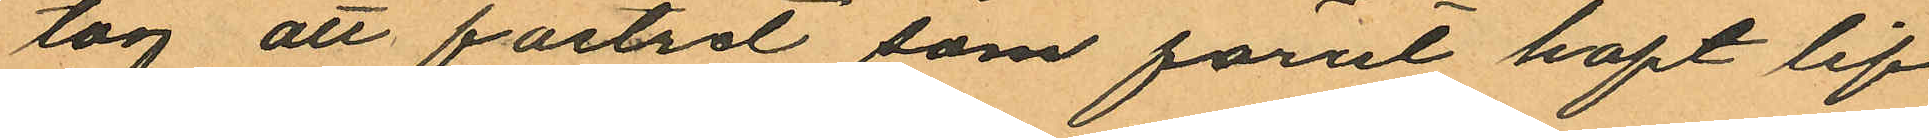tog att fostret som förut haft lif
